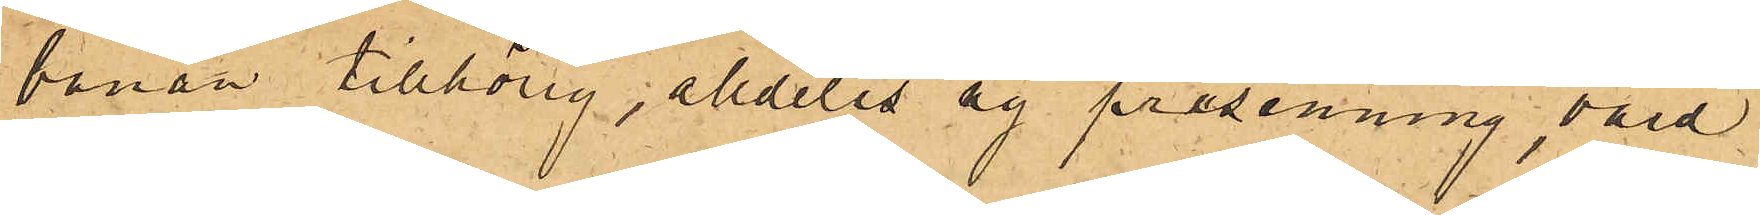banan tillhörig, alldeles ny presenning, värd
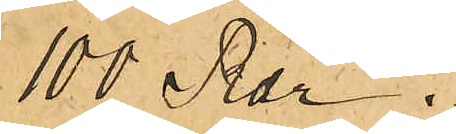100 Rdr.
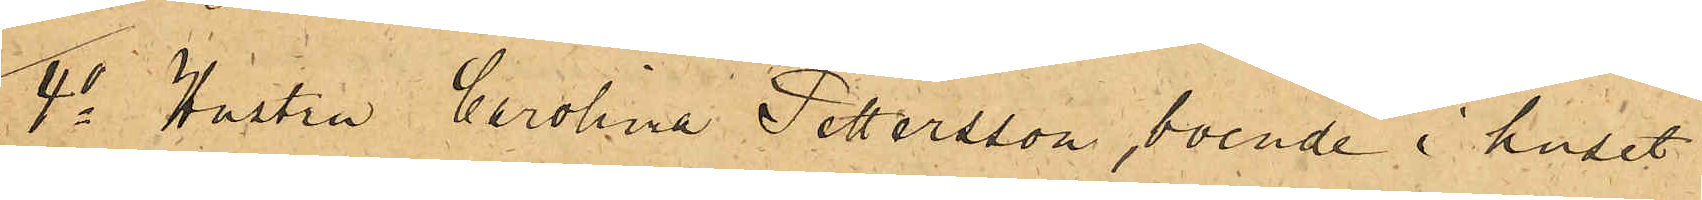4o Hustru Carolina Pettersson, boende i huset
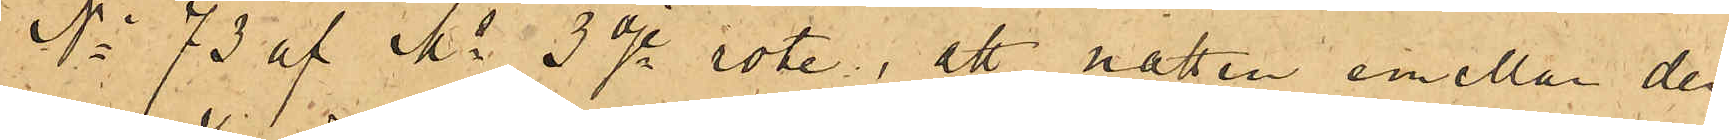No 73 af Ms 3dje rote, att natten emellan den
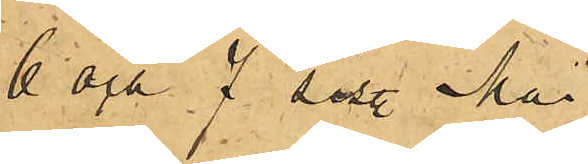6 och 7 sist. Mai
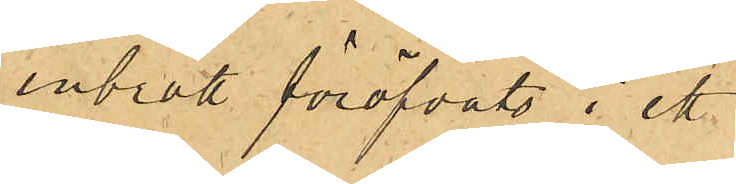inbrott föröfvats i ett
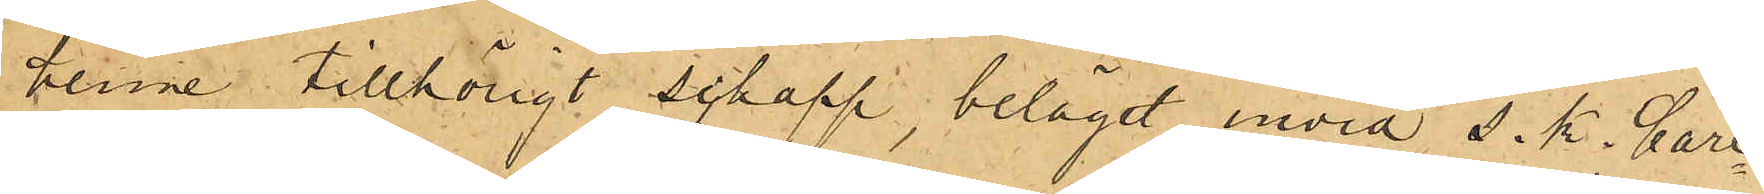henne tillhörigt schapp, beläget invid s. k. Carl¬
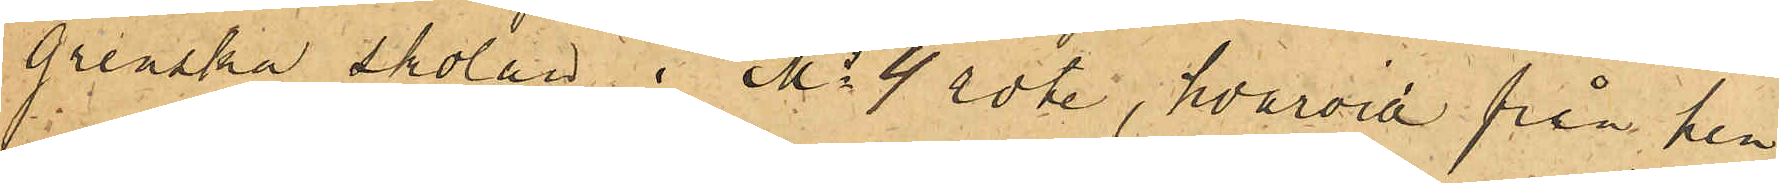grenska skolan i Ms 4 rote, hvarvid från hen¬
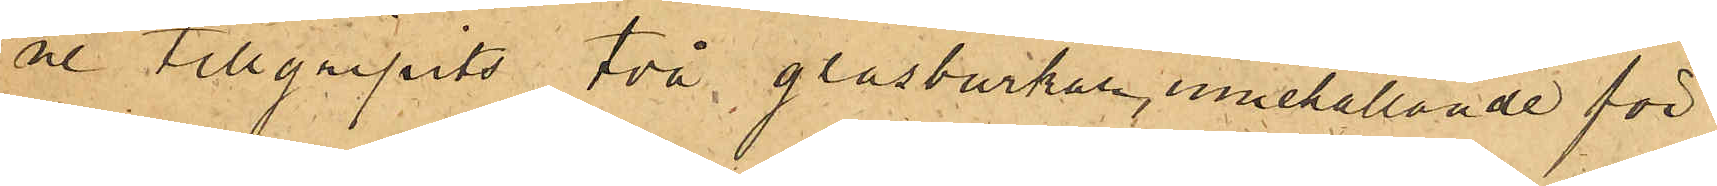ne tillgripits två glasburkar, innehållande för
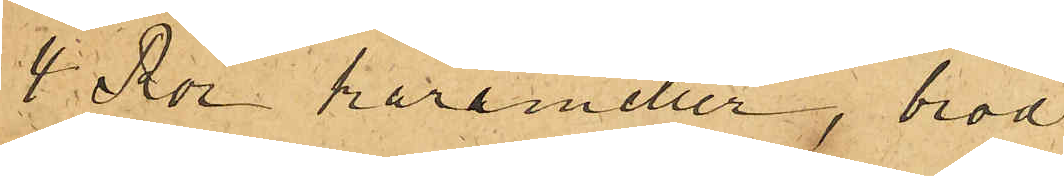4 Rdr karameller, bröd
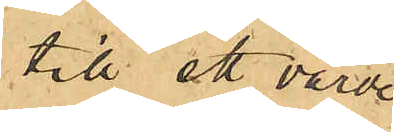till ett värde
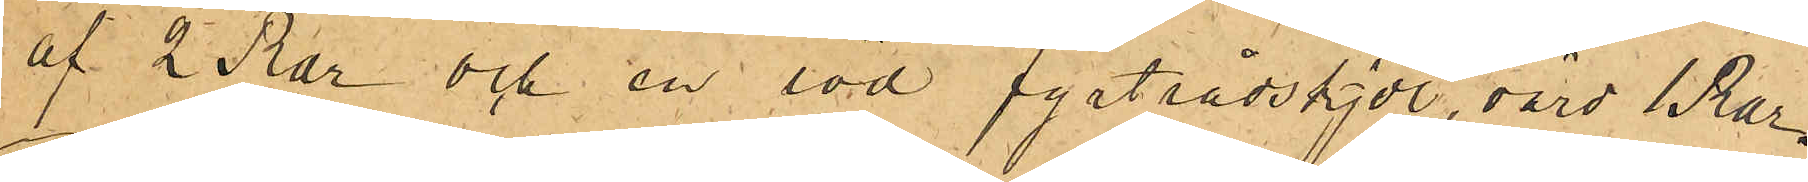af 2 Rdr och en röd fyrtrådskjol, värd 1 Rdr.
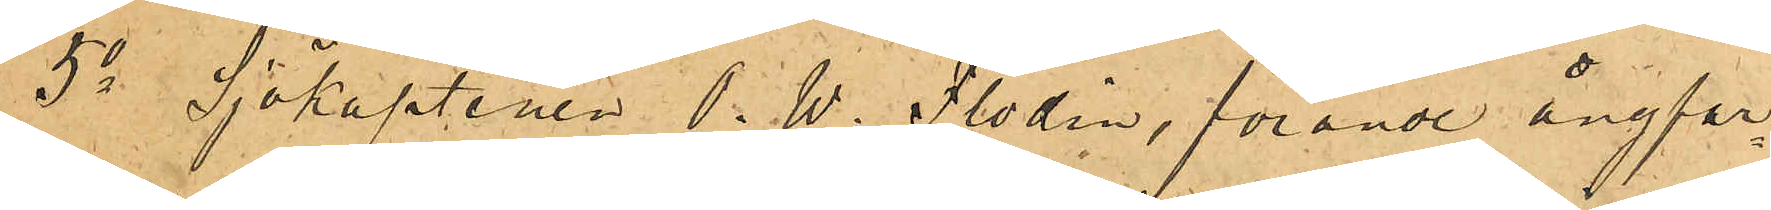5o Sjökaptenen O. W. Flodin, förande ångfar¬
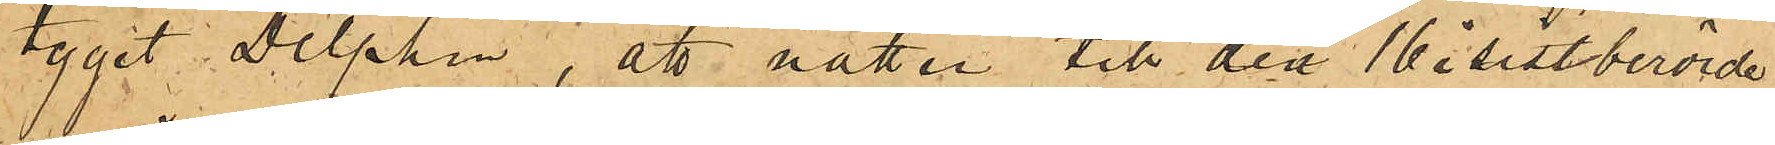tyget Delphin, att natten till den 16 i sistberörde
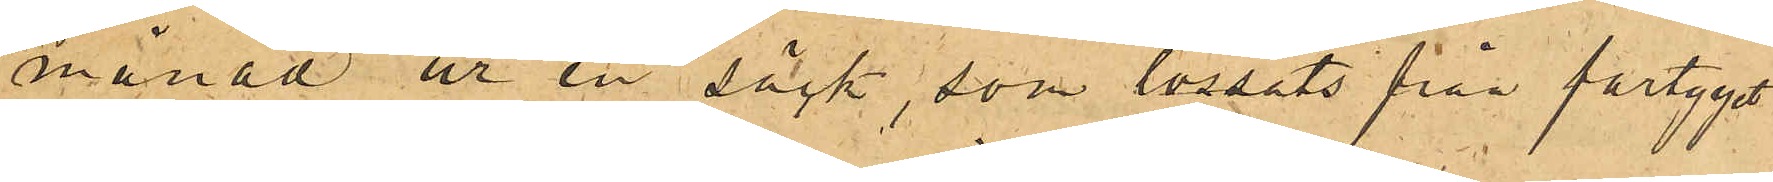månad ur en säck, som lossats från fartyget
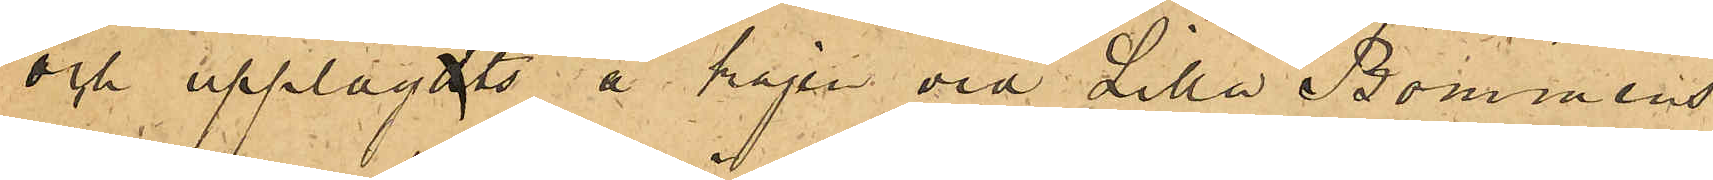och upplagdts å kajen vid Lilla Bommens
